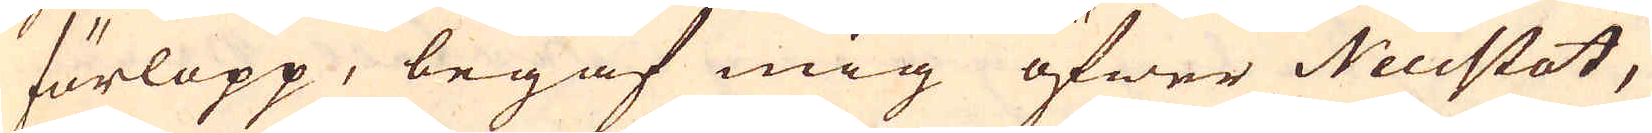förlopp, begaf mig öfwer Neustat,
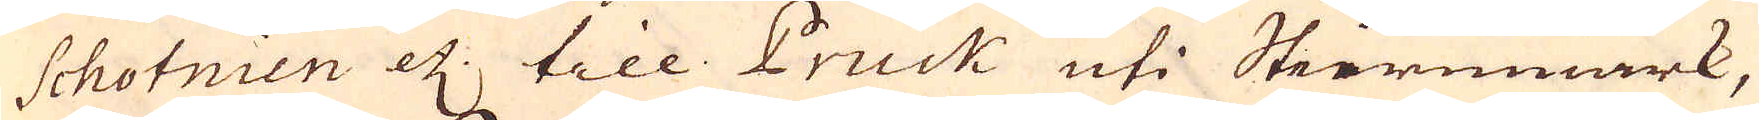Schotnien etc: till Pruck uti Steiermark,
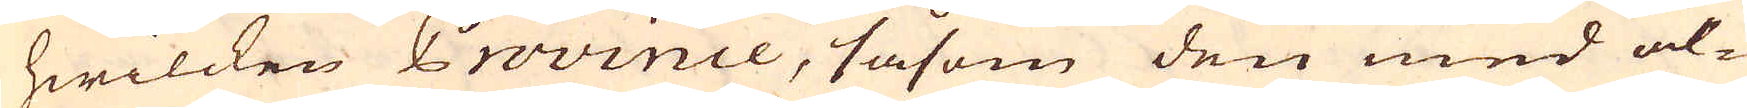hwilcken Province, såsom den med al-
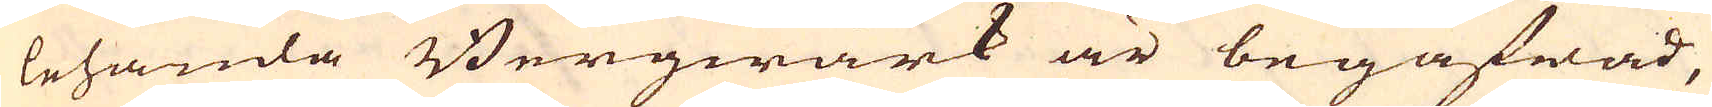lehanda Bergwärk är begåfwad,
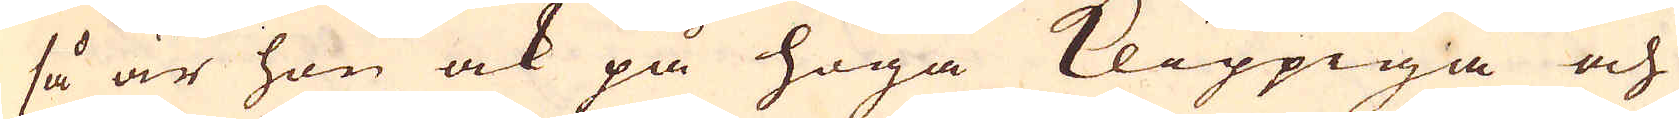så är hon ock på höga Klippiga och
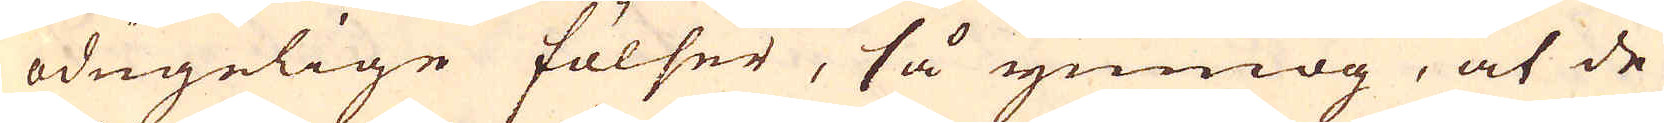ödugelige fölser, så ymnog, at de
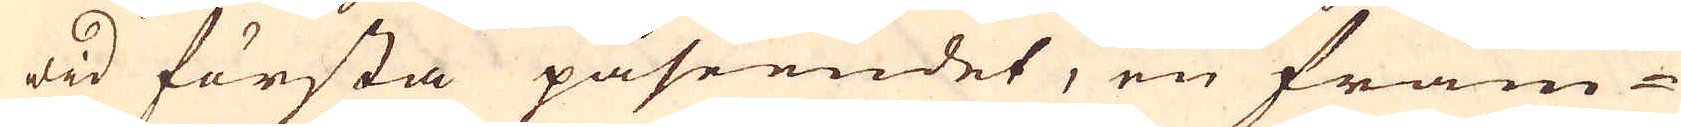wid första påseendet, en främ-
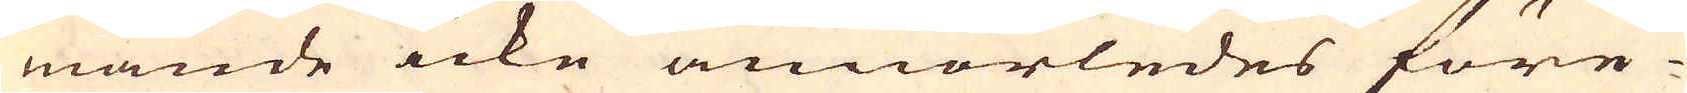mande icke annorledes före-
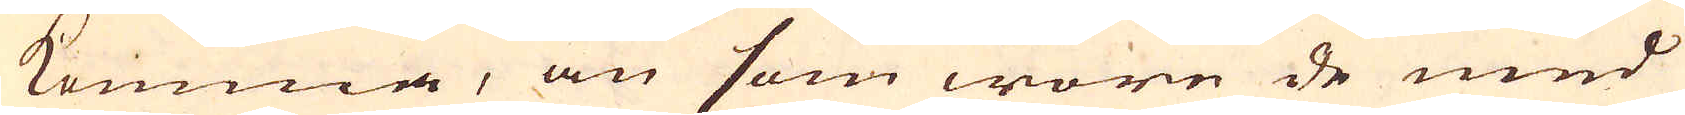komma, än som wore de med
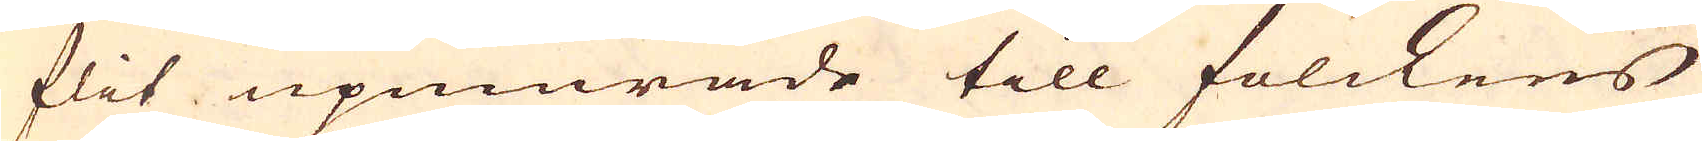flit upmurade till folckens
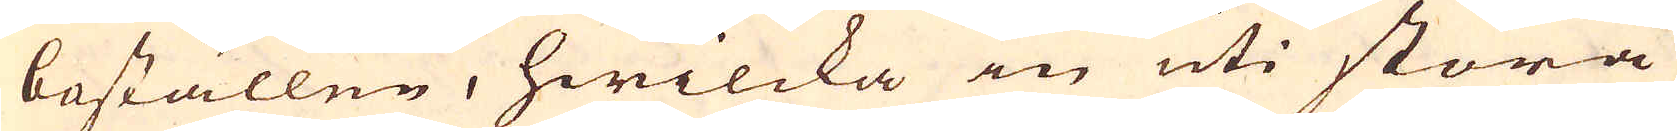boställen, hwilcka in uti stora
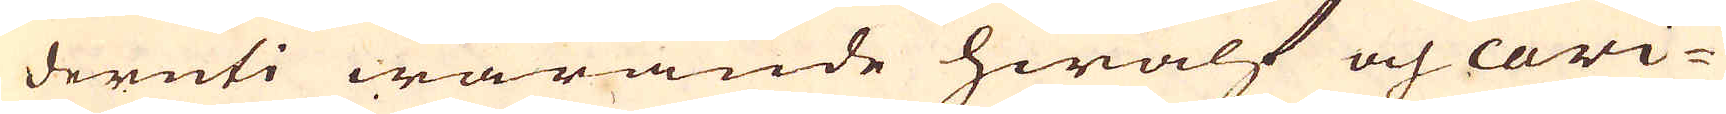deruti warande hwalf och cawi-
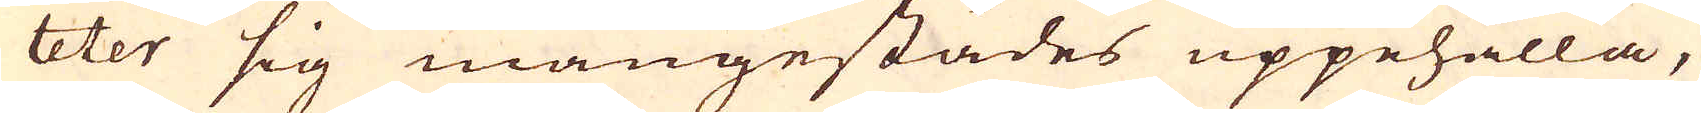teter sig mångestädes uppehålla,
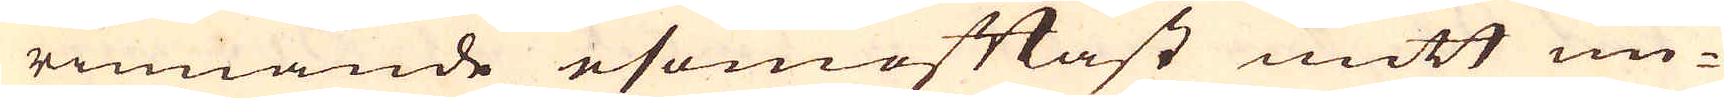rinnande esomoftast mitt un-
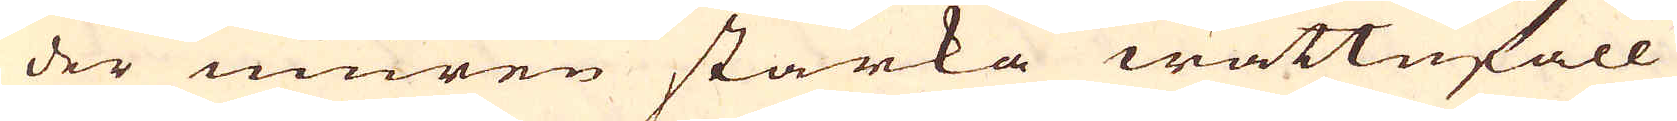der muren starka wattufall
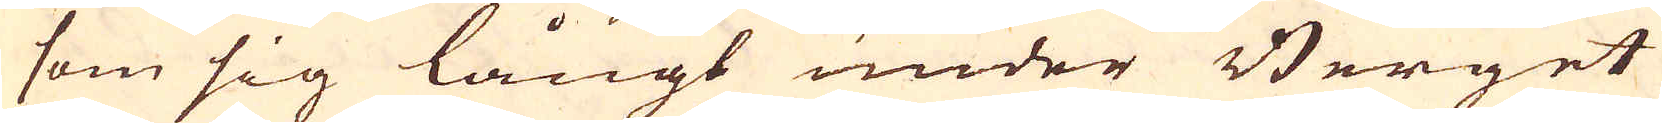som sig långt under Berget
